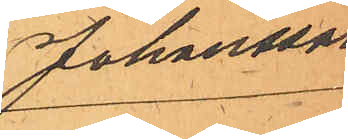Johansson
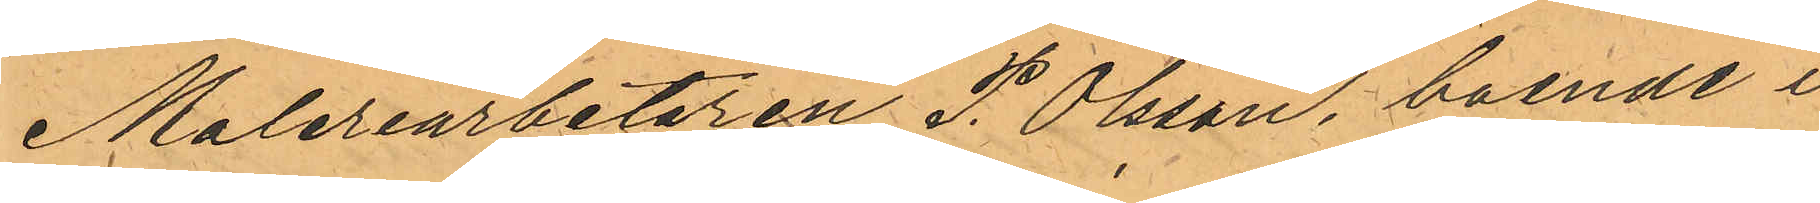Maleriarbetaren P. Olsson, boende i
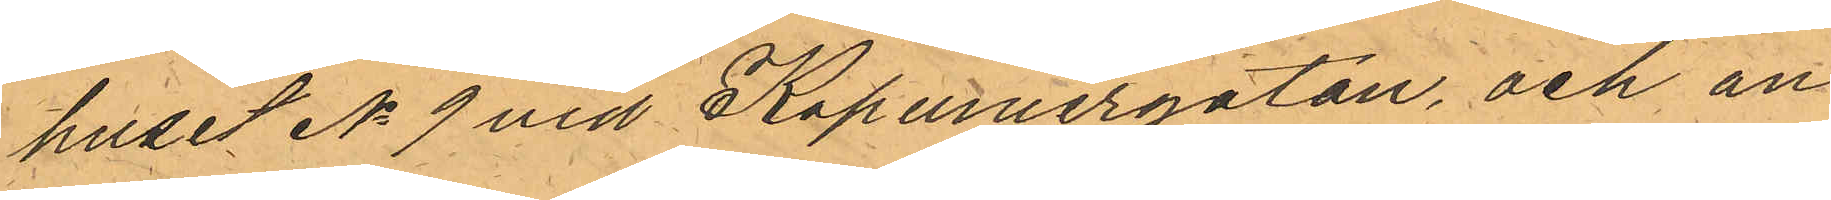huset No 9 vid Kapuniergatan, och an¬
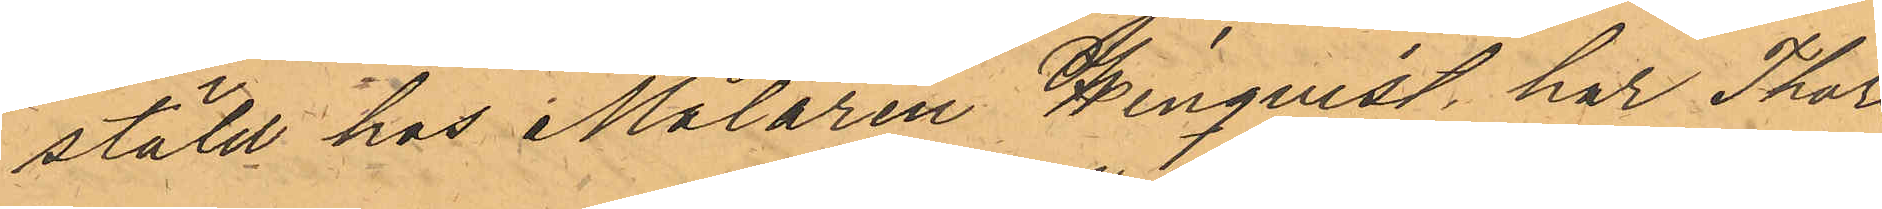stäld hos Målaren Winquist, har Thors¬
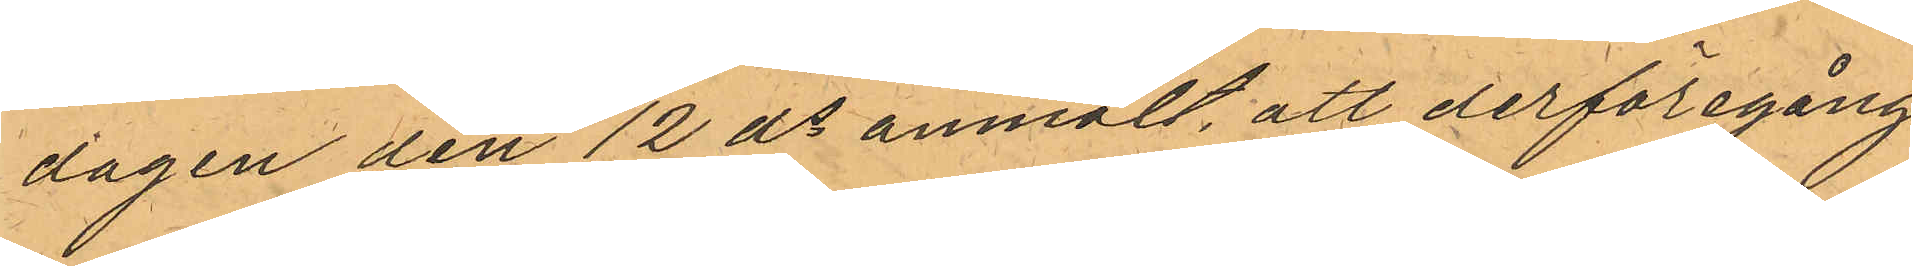dagen den 12 ds anmält, att derföregång¬
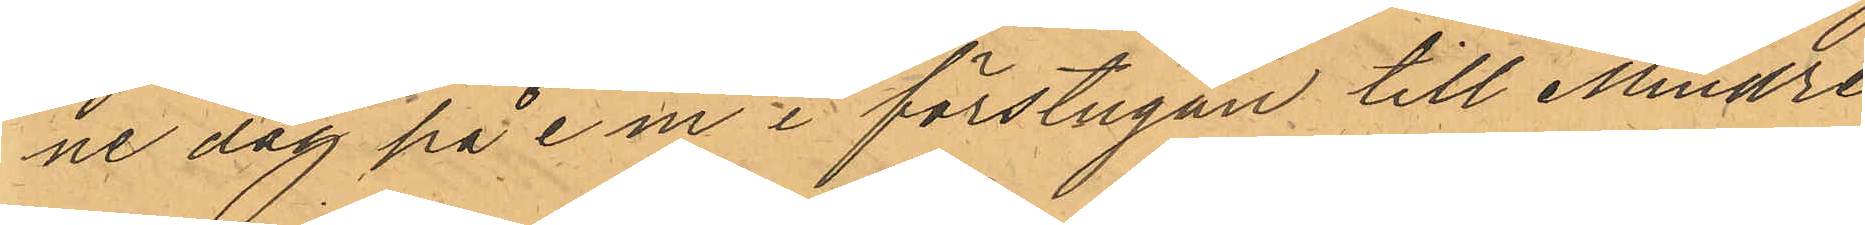ne dag på e m i förstugan till Mindre
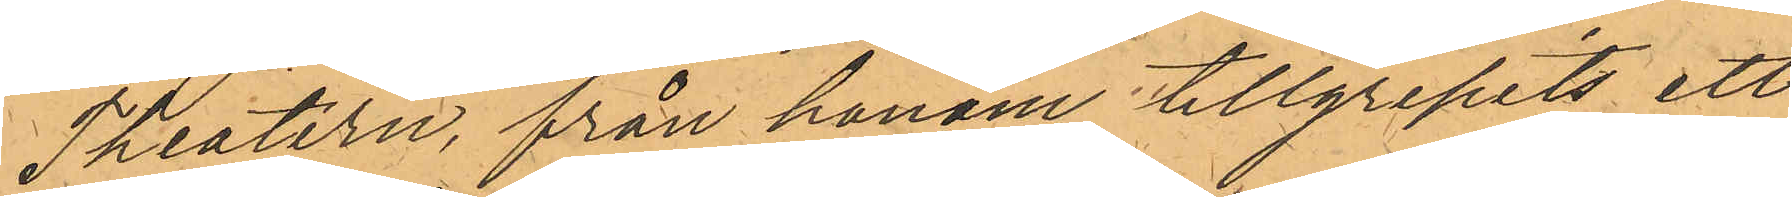Theatern, från honom tillgripits ett
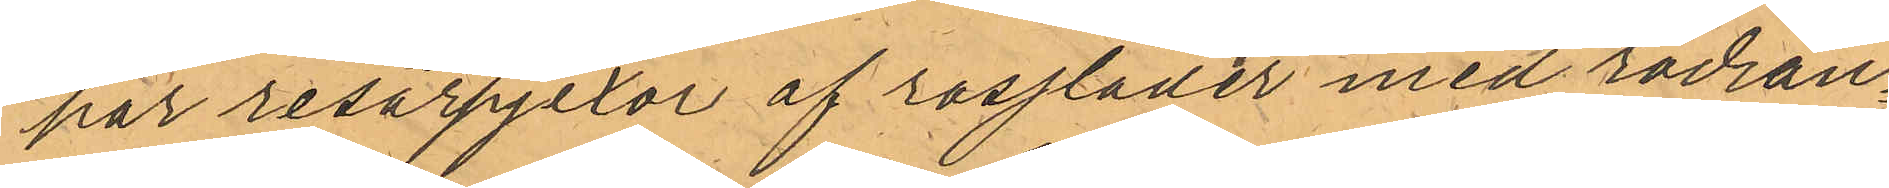har resårpjexor af rossläder med rödran¬
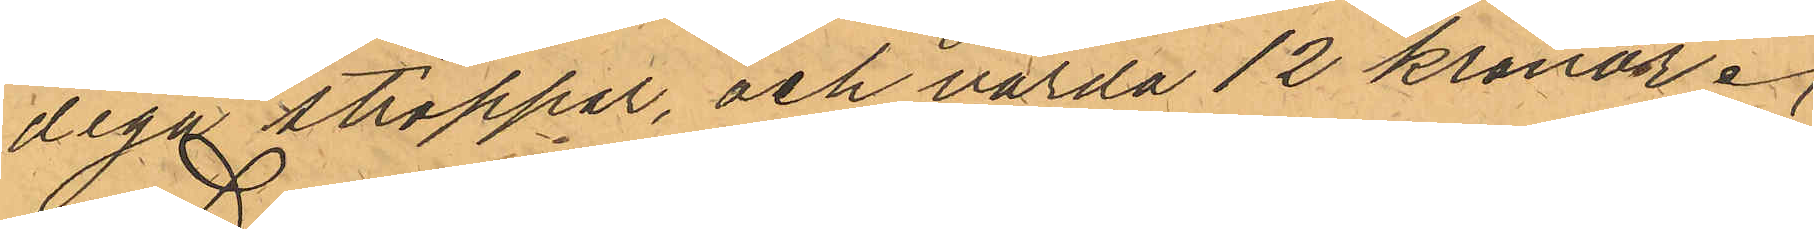diga stroppar, och värda 12 kronor.
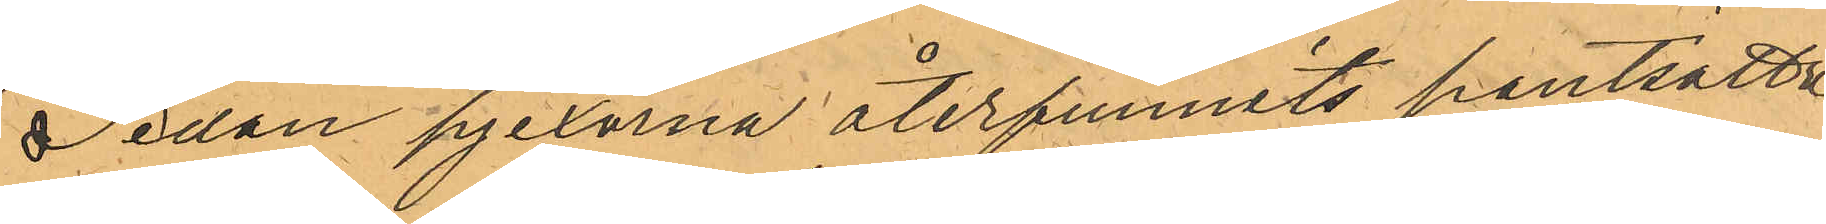Sedan pjexorna återfunnits pantsatta
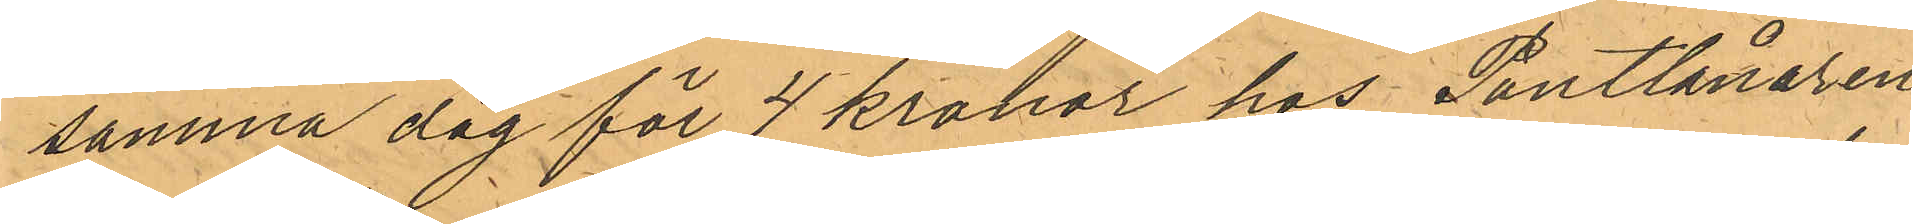samma dag för 4 kronor hos Pantlånaren
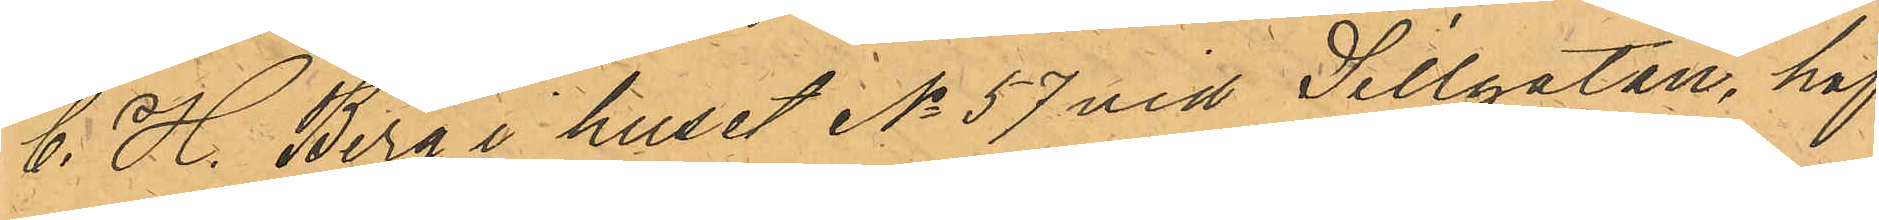C. H. Berg i huset No 57 vid Sillgatan, haf¬
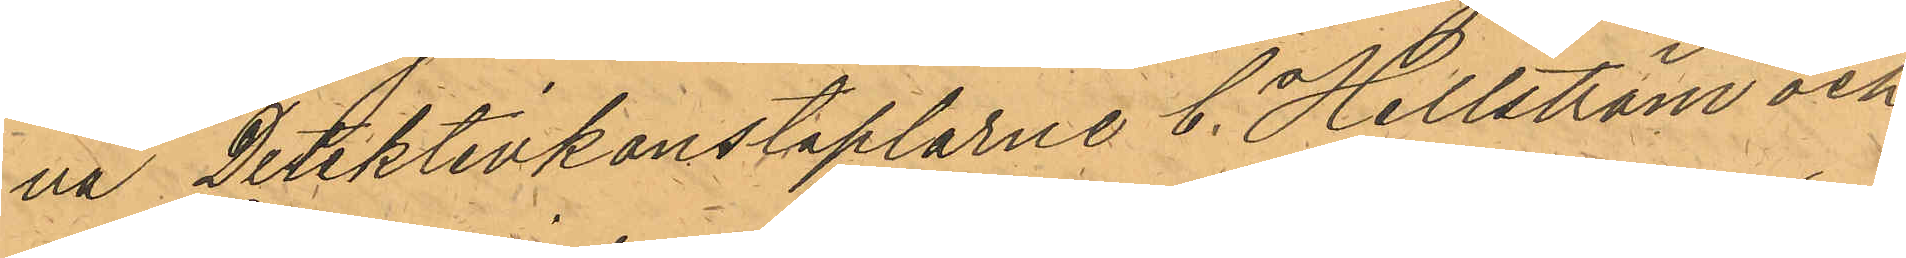va detektivkonstaplarne C. Hellström och
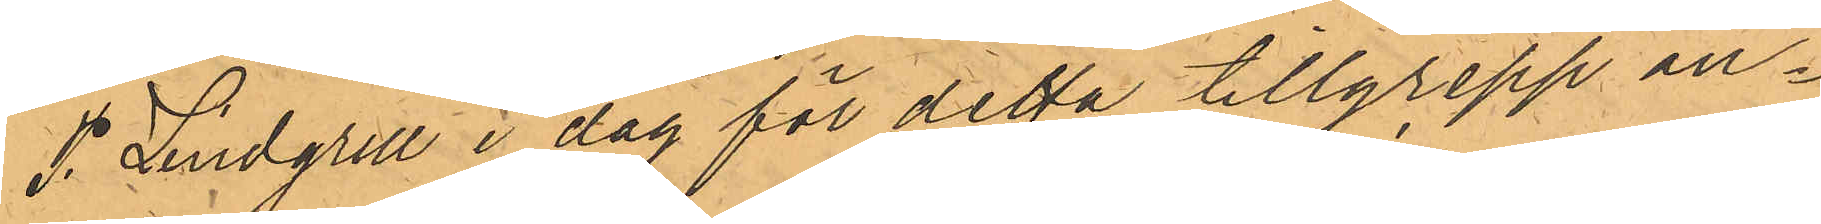P. Lindgren i dag för detta tillgrepp an¬
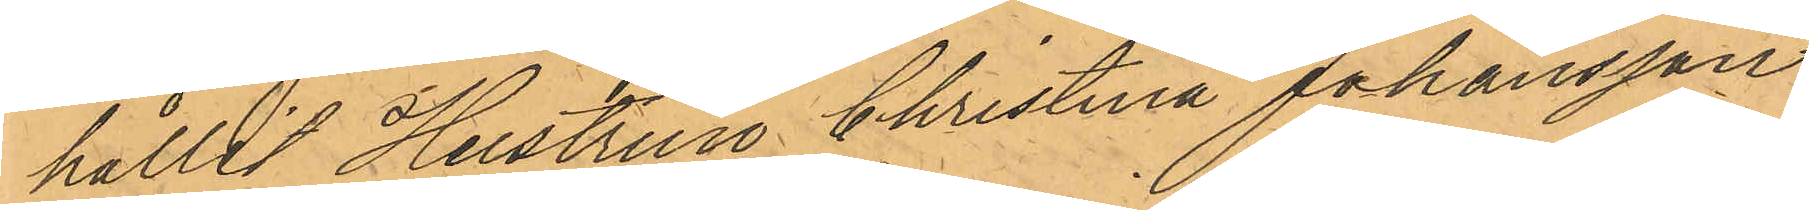hållit Hustrun Christina Johansson
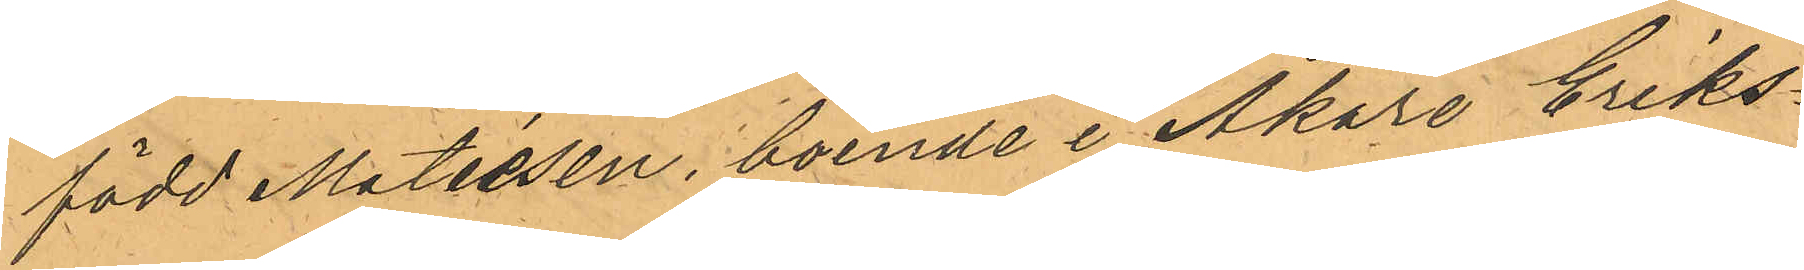född Matiesen, boende i Åkare Eriks¬
